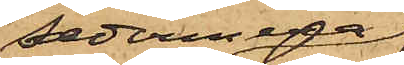sedermera
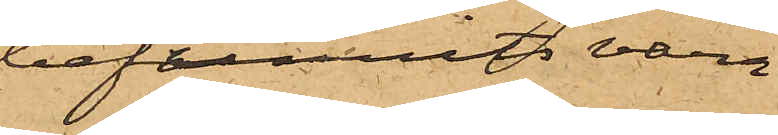befunnits vara
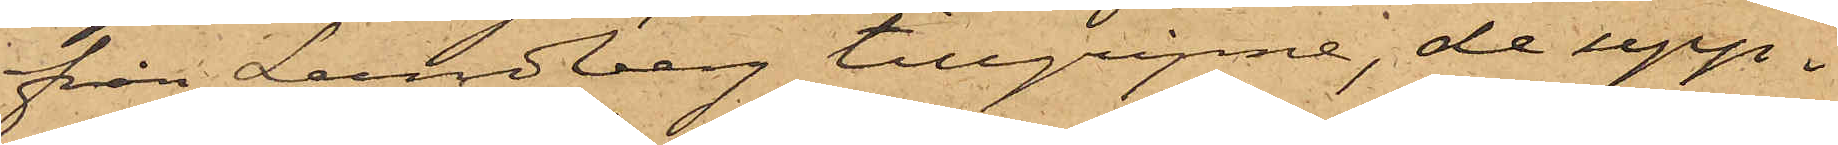från Lundberg tillgripne, de upp¬
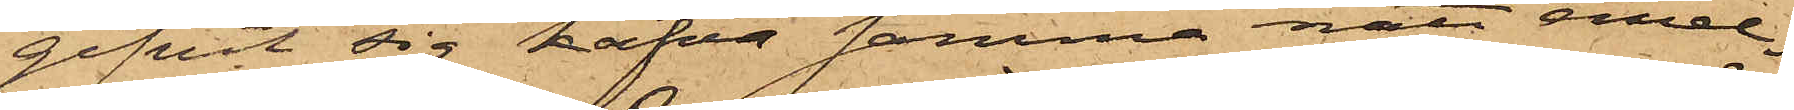gifvit sig hafva samma natt emel¬
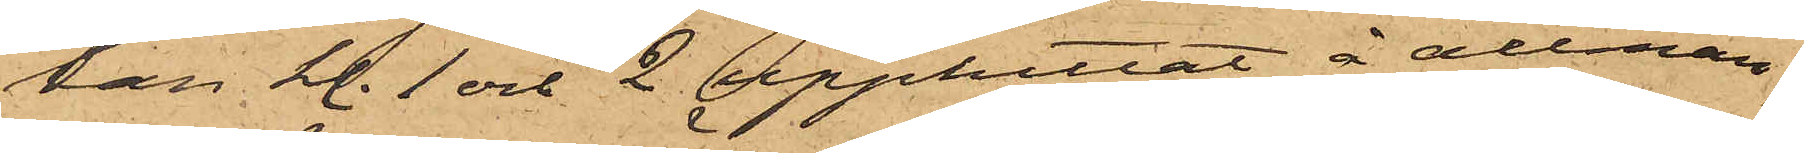lan kl. 1 och 2 upphittat å allmän¬
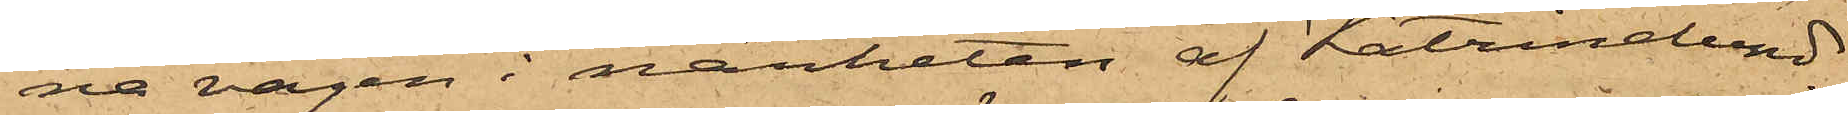na vägen i närheten af Katrinelund.
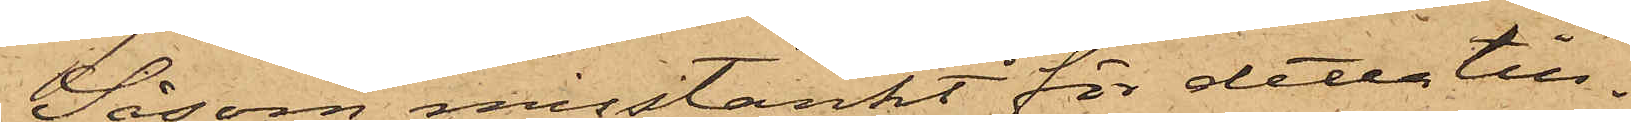Såsom misstänkt för detta till¬
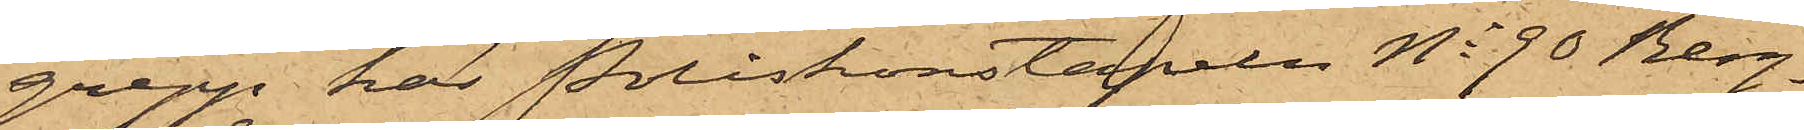grepp har Poliskonstapeln No 90 Berg¬
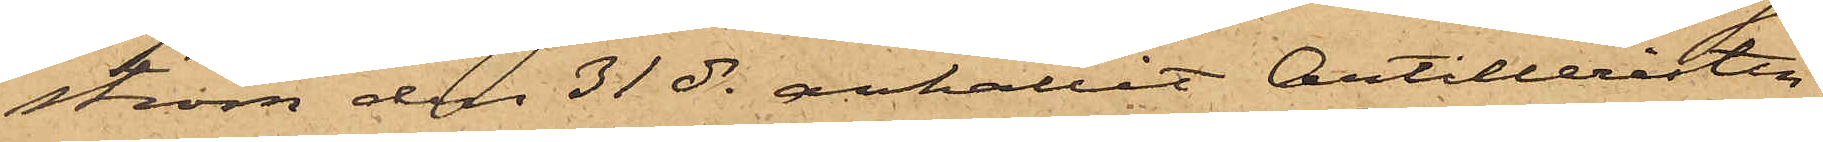ström den 31 ds anhållit Artilleristen
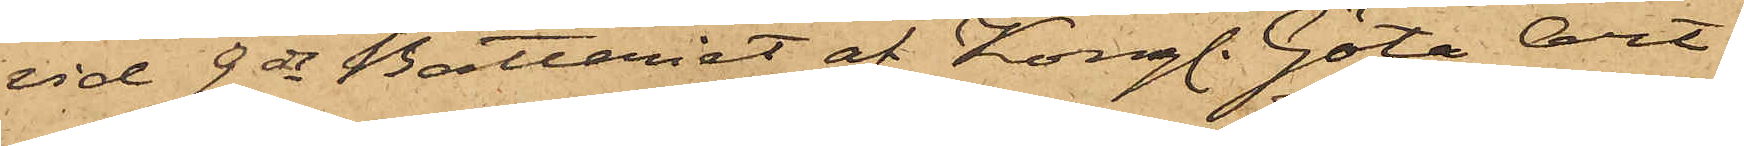vid 9de Batteriet af Kongl. Göta Art.
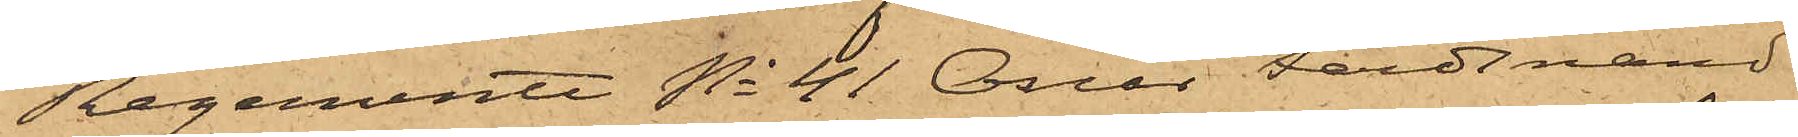Regemente No 41 Oscar Ferdinand
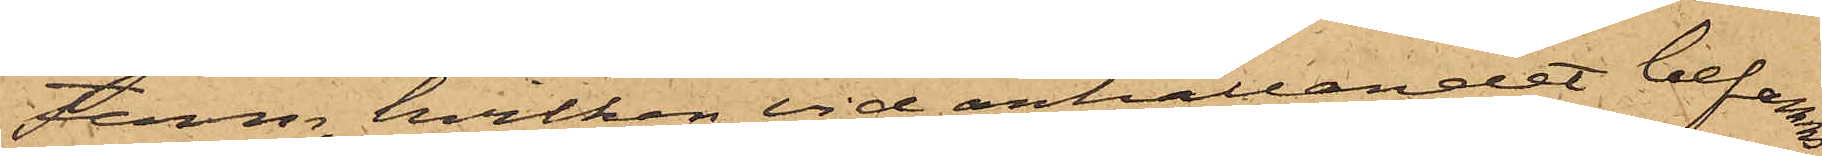Ferm, hvilken vid anhållandet befanns
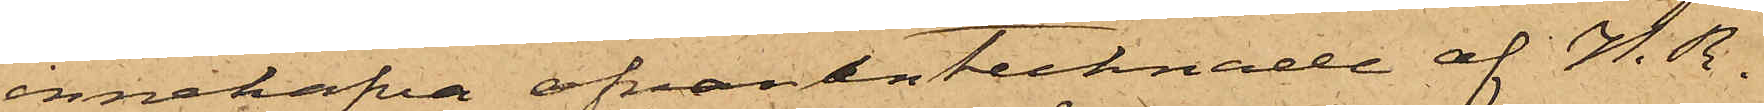innehafva ofvanantecknade af N. R.
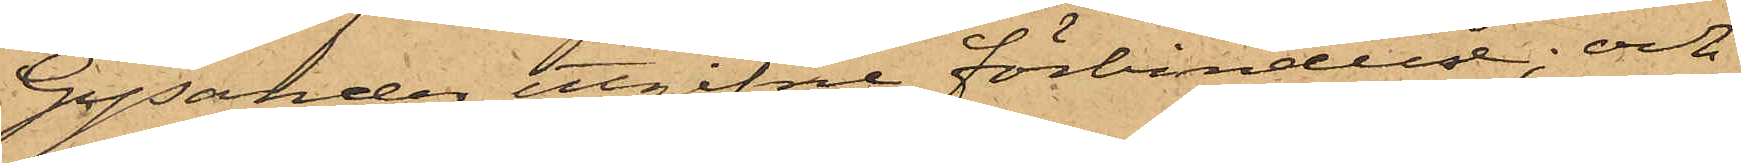Gysander utgifne förbindelse; och
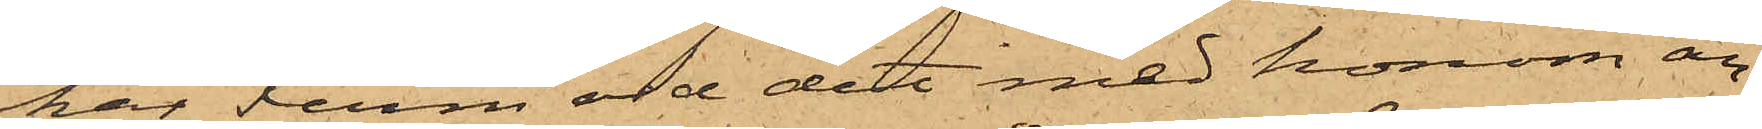har Ferm vid det med honom an¬
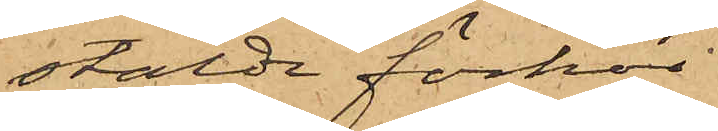stälde förhör
